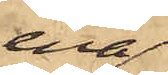ena
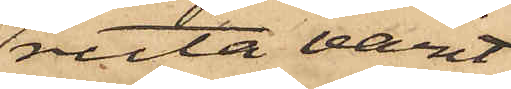ruta varit
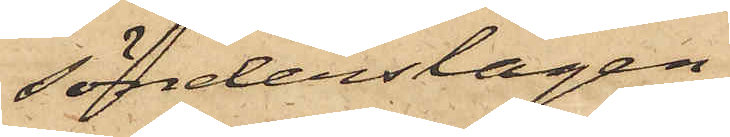sönderslagen
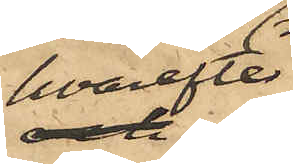hvarefter
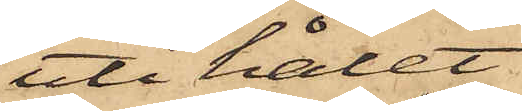uti hålet
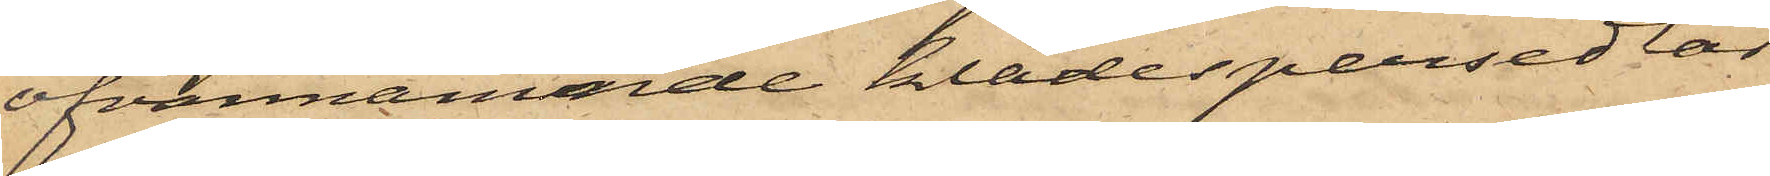ofvannämnde klädespersedlar
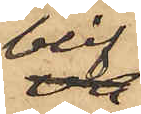blif¬
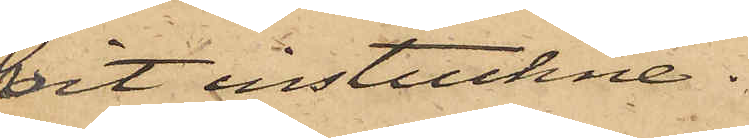vit instuckne.
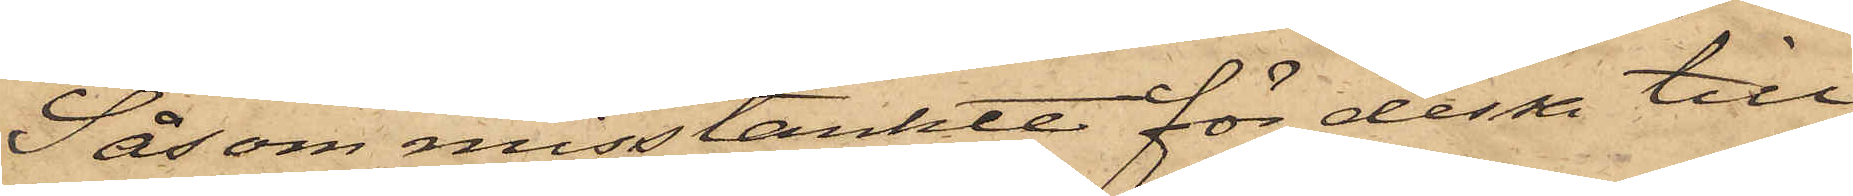Såsom misstänkte för dessa till¬
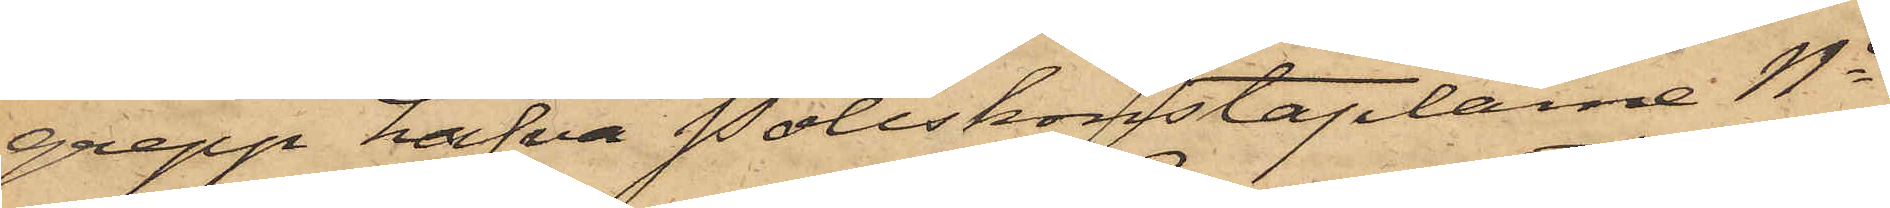grepp hafva Poliskonstaplarne No
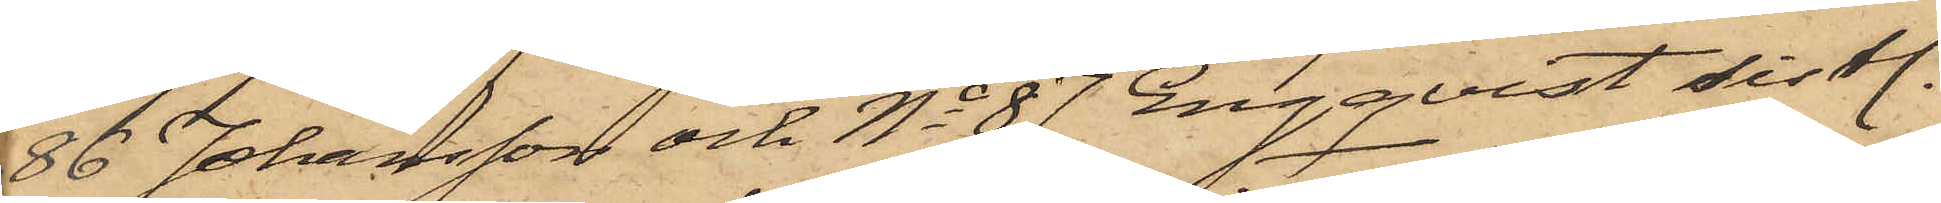86 Johansson och No 87 Engqvist sistl.
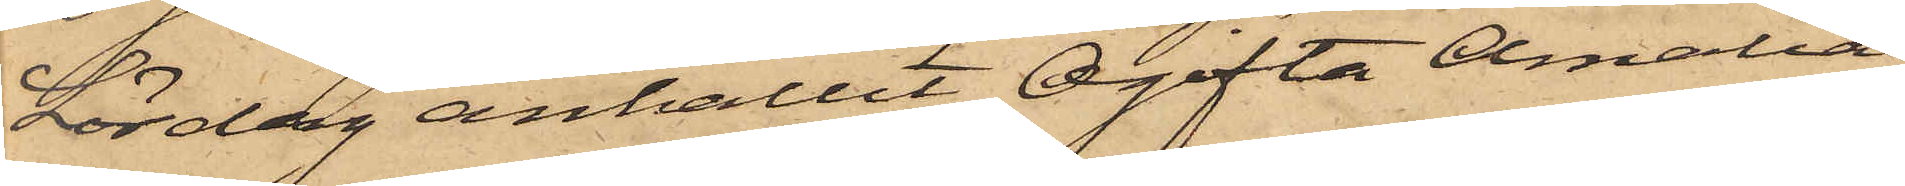Lördag anhållit Ogifta Amalia
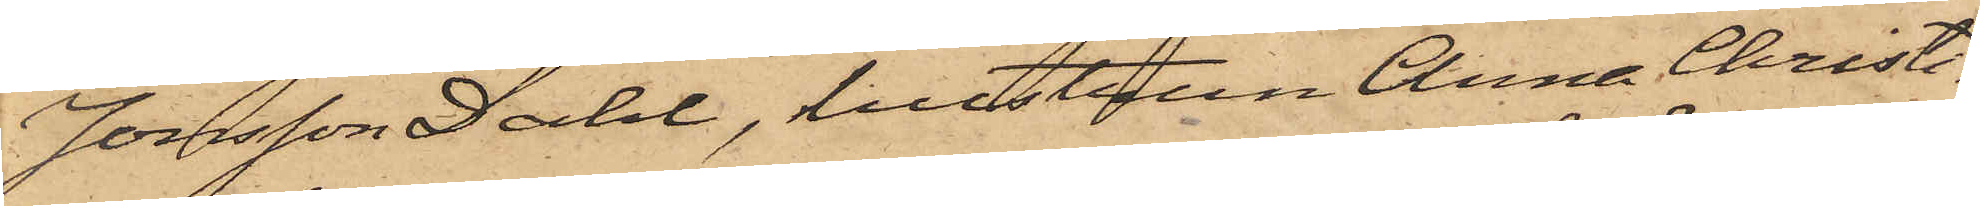Jonsson Dahl, hustrun Anna Christi¬
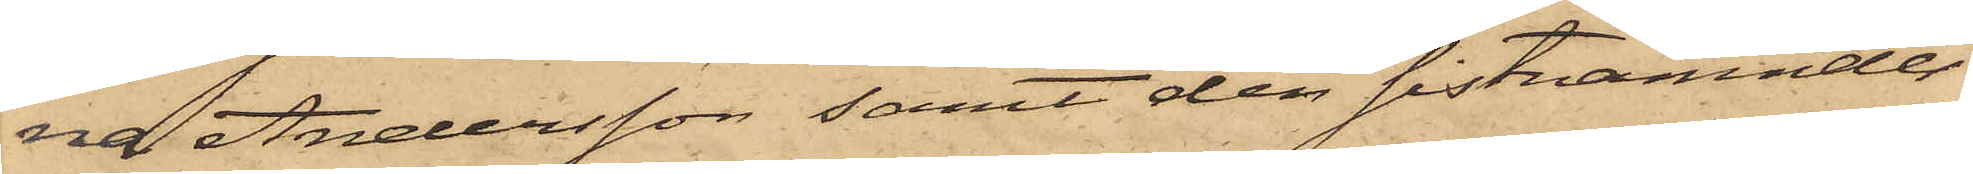na Andersson samt den sistnämndes
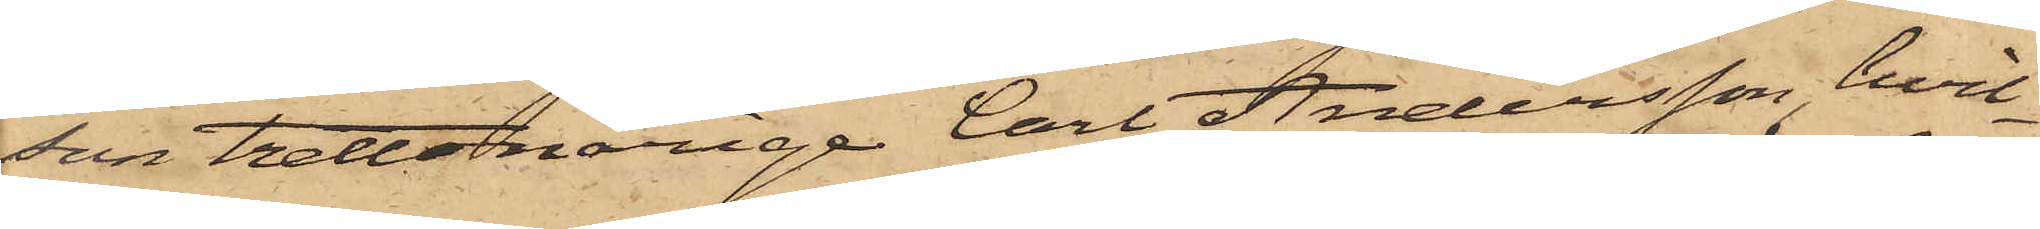son trettonårige Carl Andersson, hvil¬
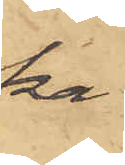ka
